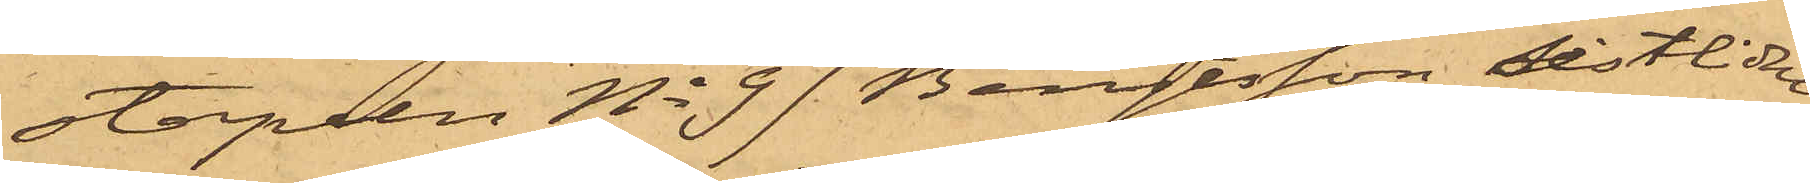stapeln No 97 Bengtsson sistlidne
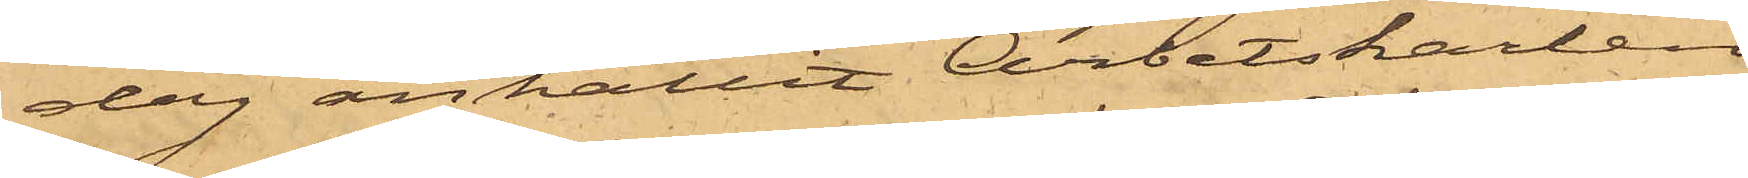dag anhållit Arbetskarlen
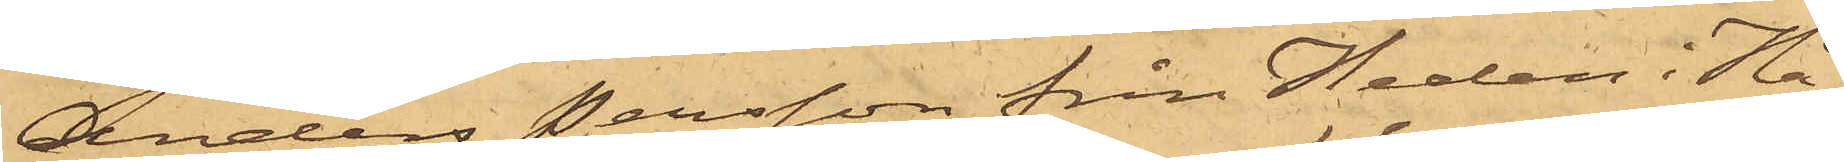Anders Persson från Heden i Hå¬
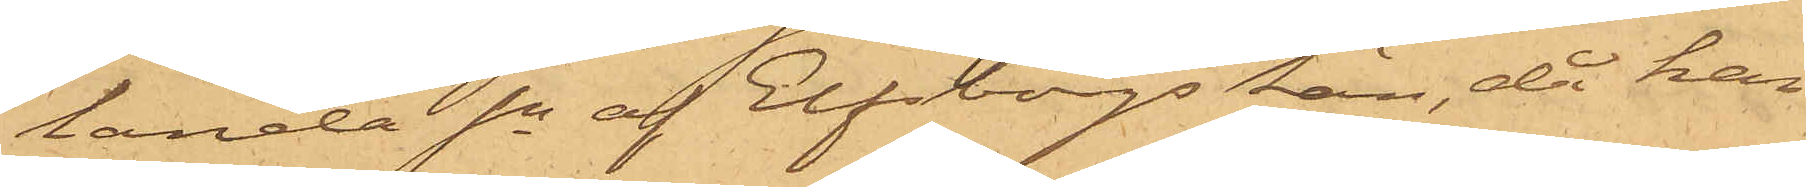landa Sn af Elfsborgs Län, då han
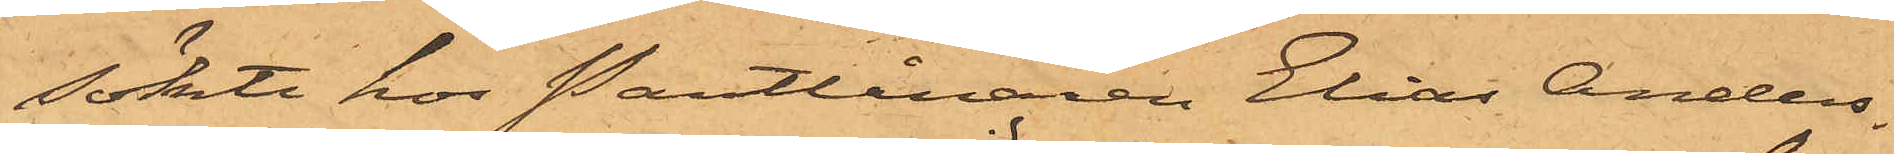sökte hos Pantlånaren Elias Anders¬
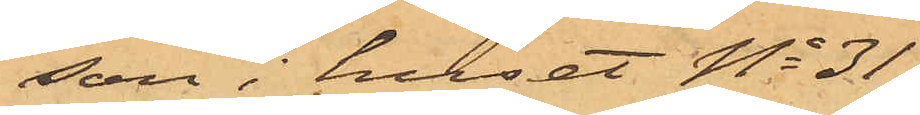son i huset No 31
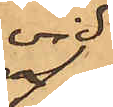vid
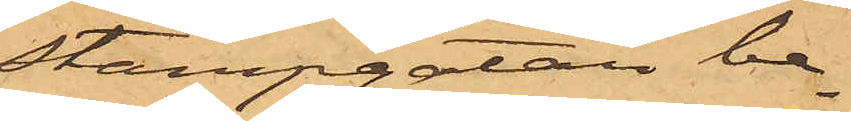Stampgatan be¬
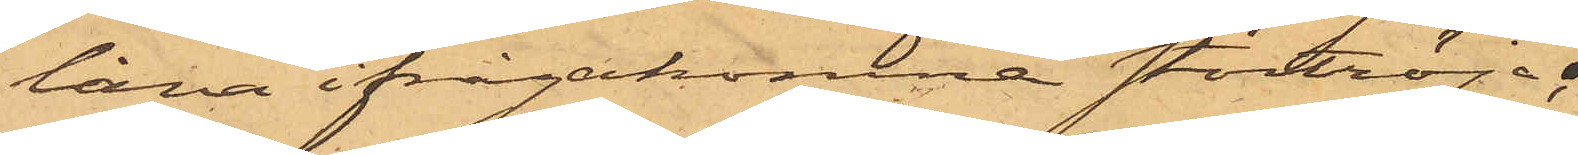låna ifrågakomne stortröja;
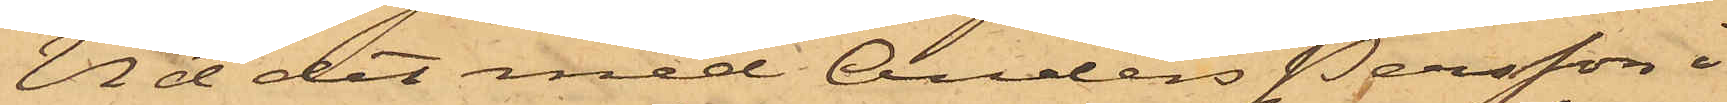Vid det med Anders Persson i
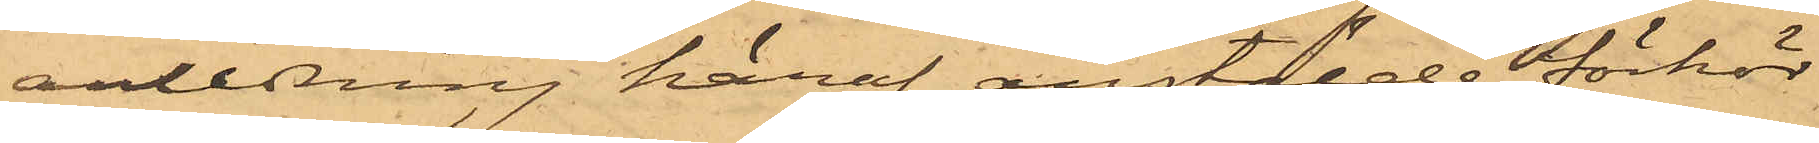anledning häraf anstälde förhör
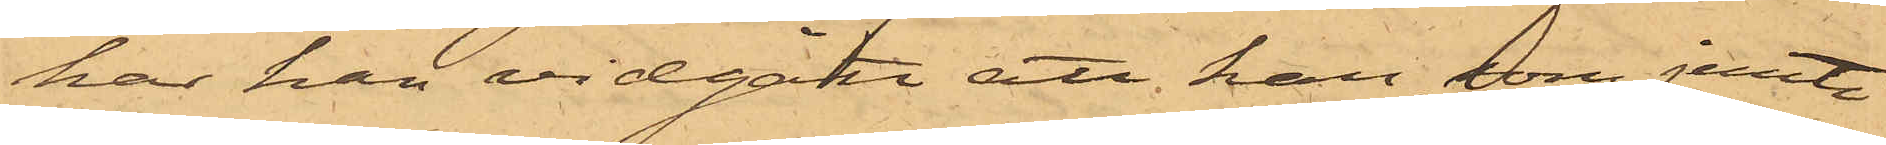har han vidgått att han, som jemte
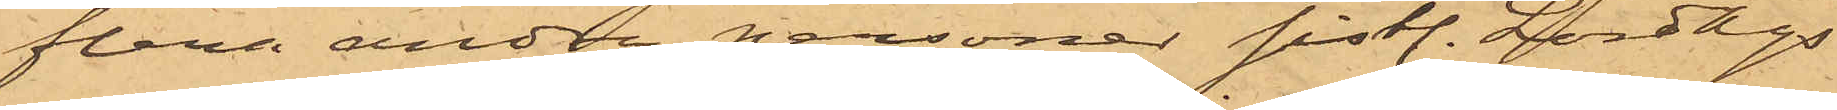flera andra personer sistl. Lördags
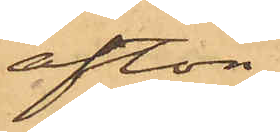afton
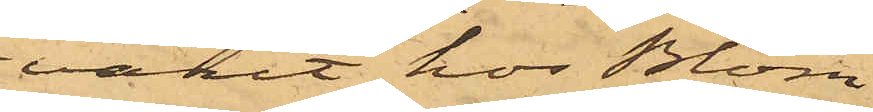varit hos Blom
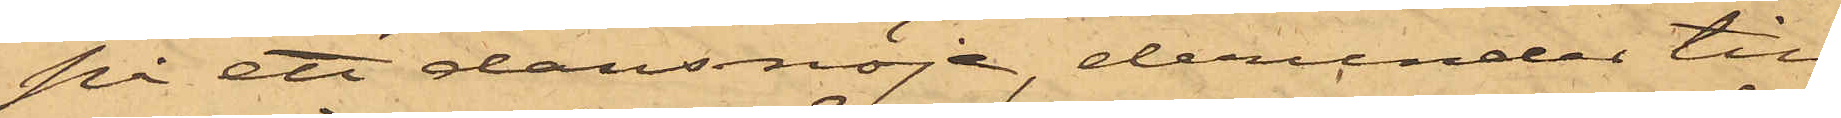på ett dansnöje, derunder till¬
